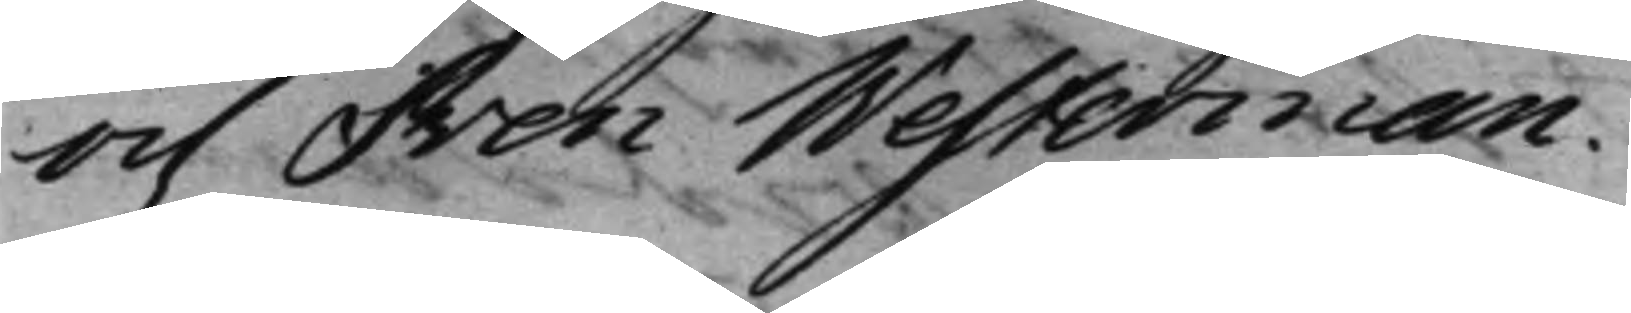och Sven Westerman.
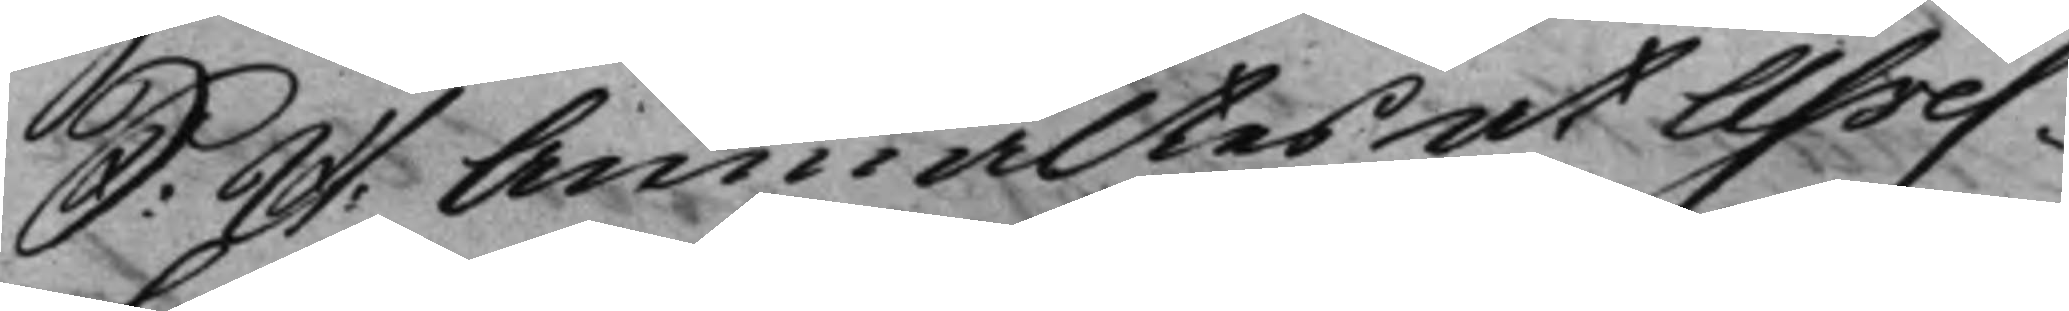S: D: Anmältes at Asses¬ 
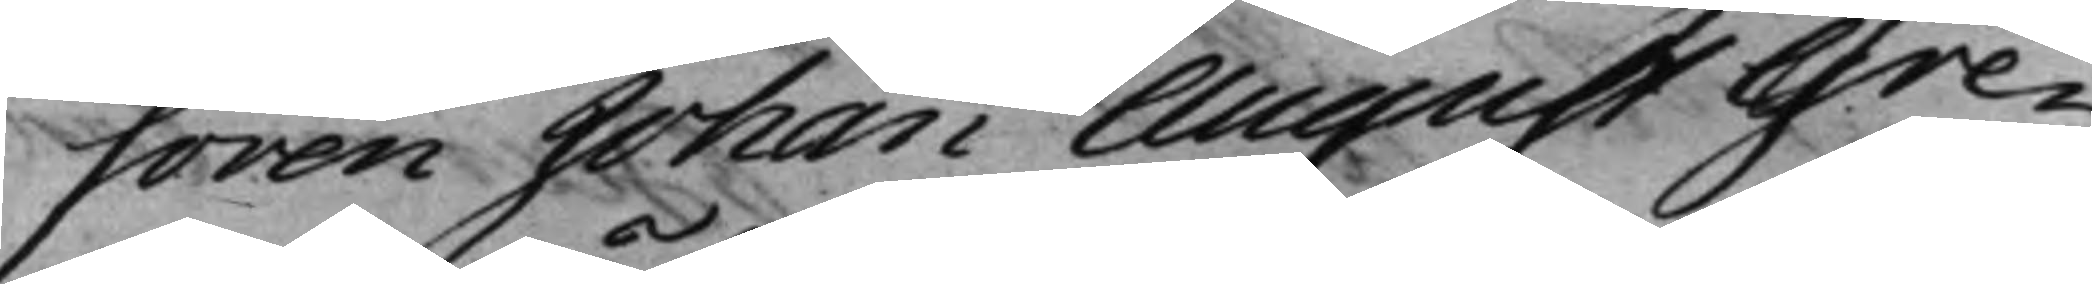soren Johan August Gre¬
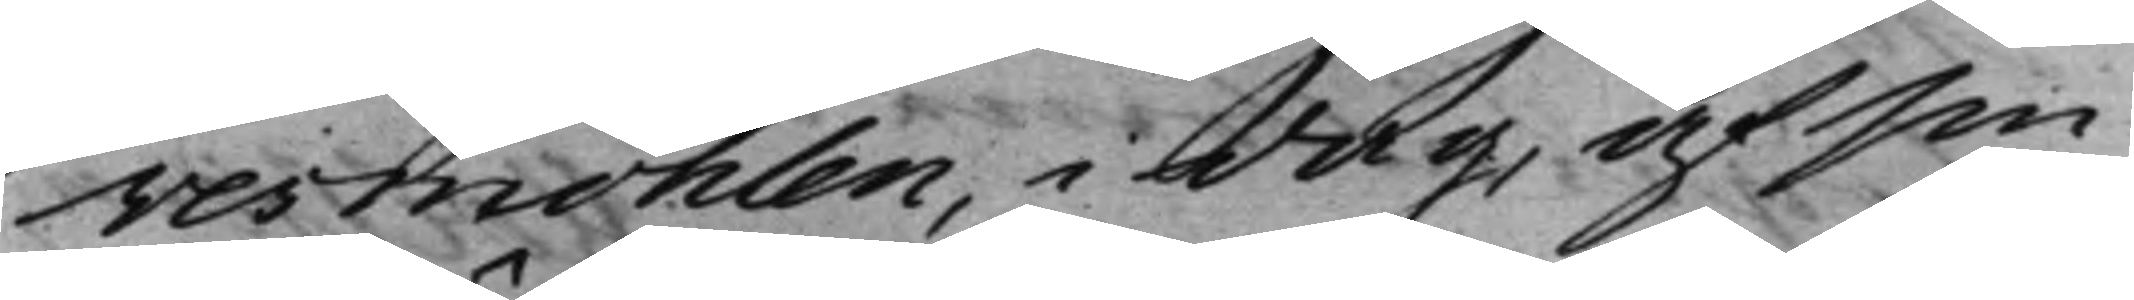vesmöhlen, i dag, af sin
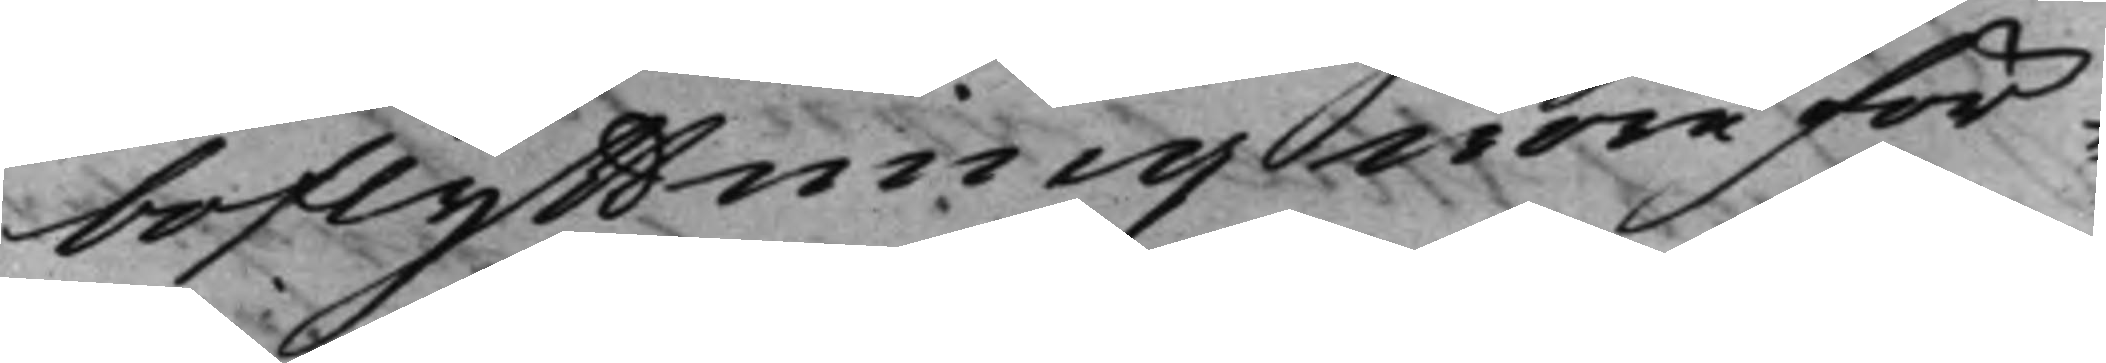boflyttning wore för¬
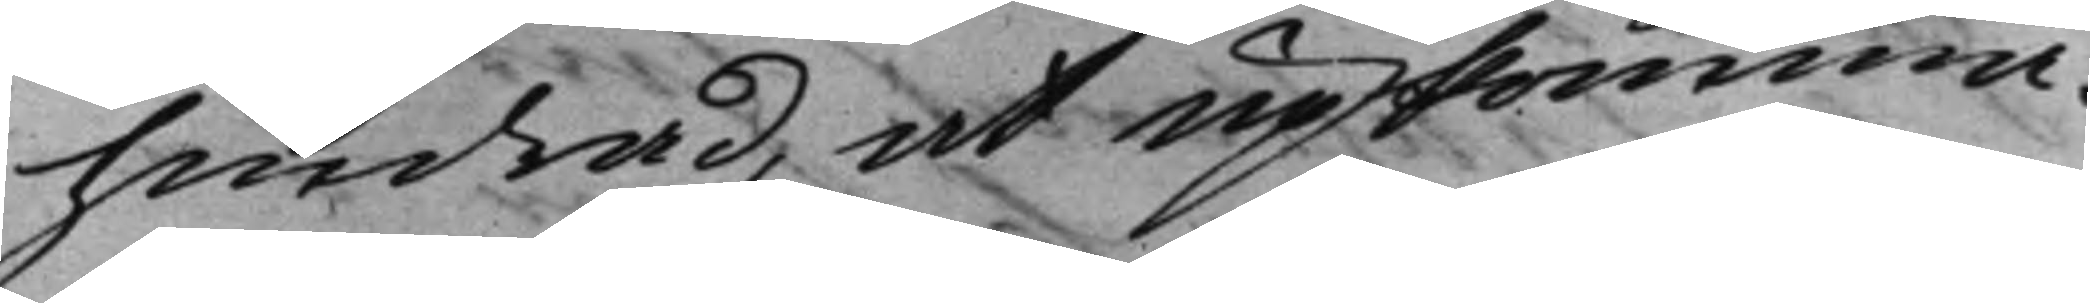hindrad, at upkomma.
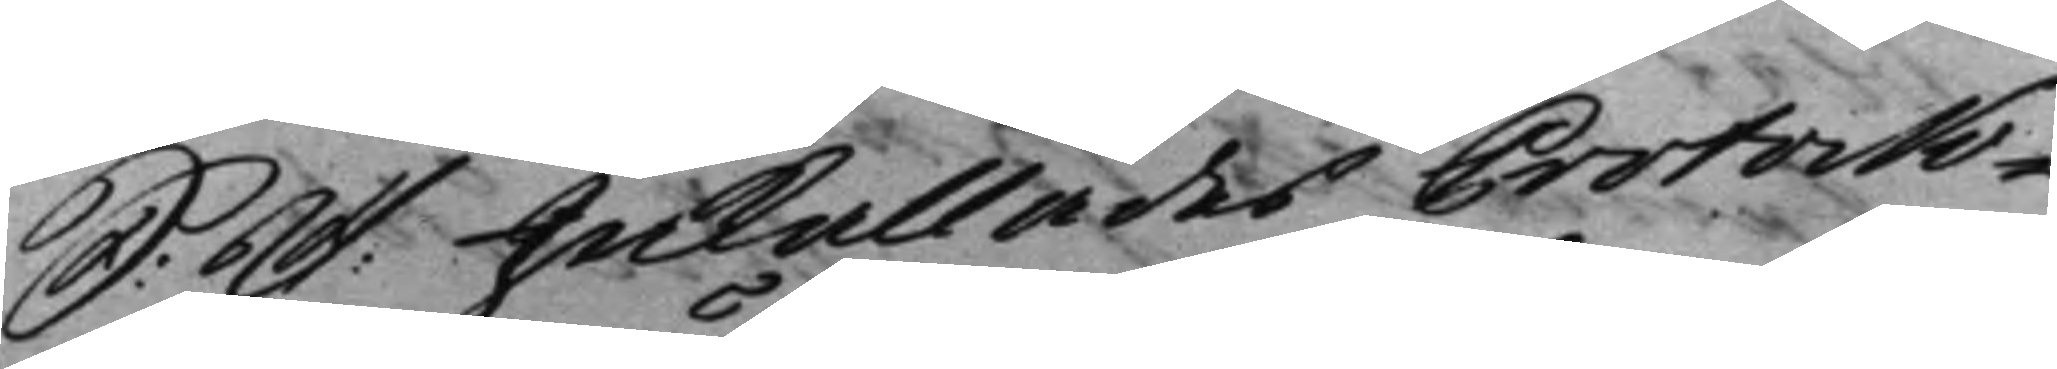S: D: Inkallades ProtoNo- 
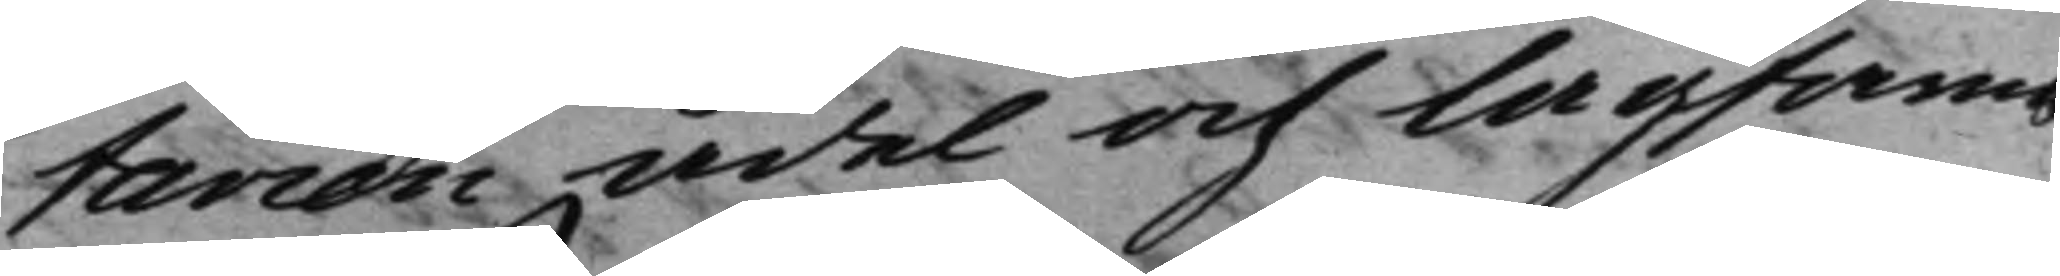tarien Ädel och lagfarne 
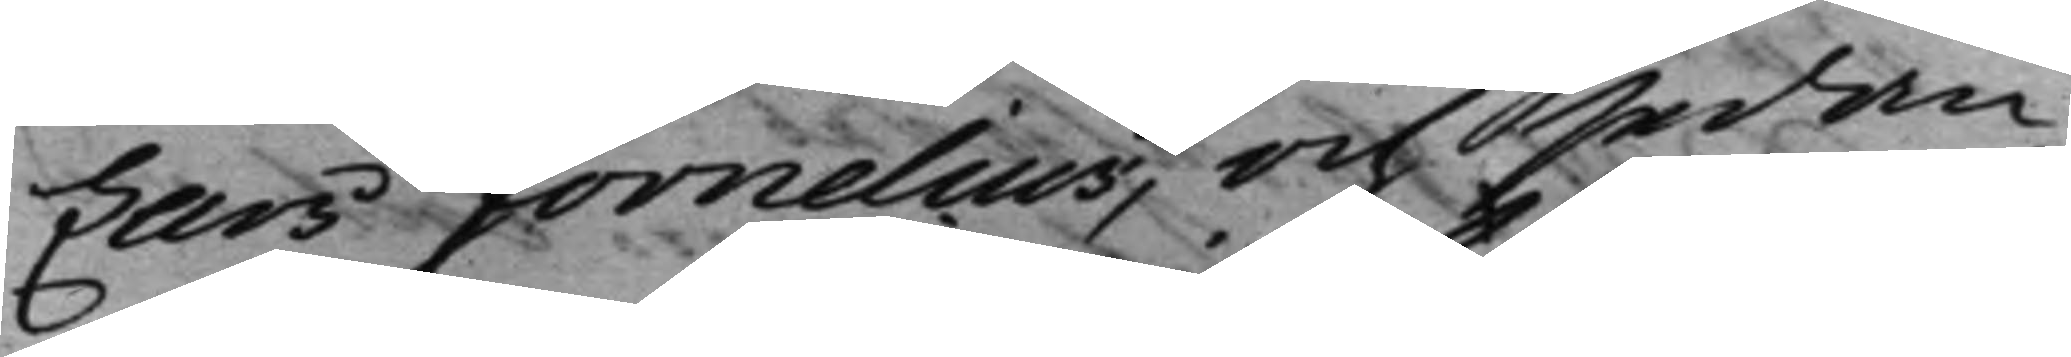Lars Fornelius, och sedan
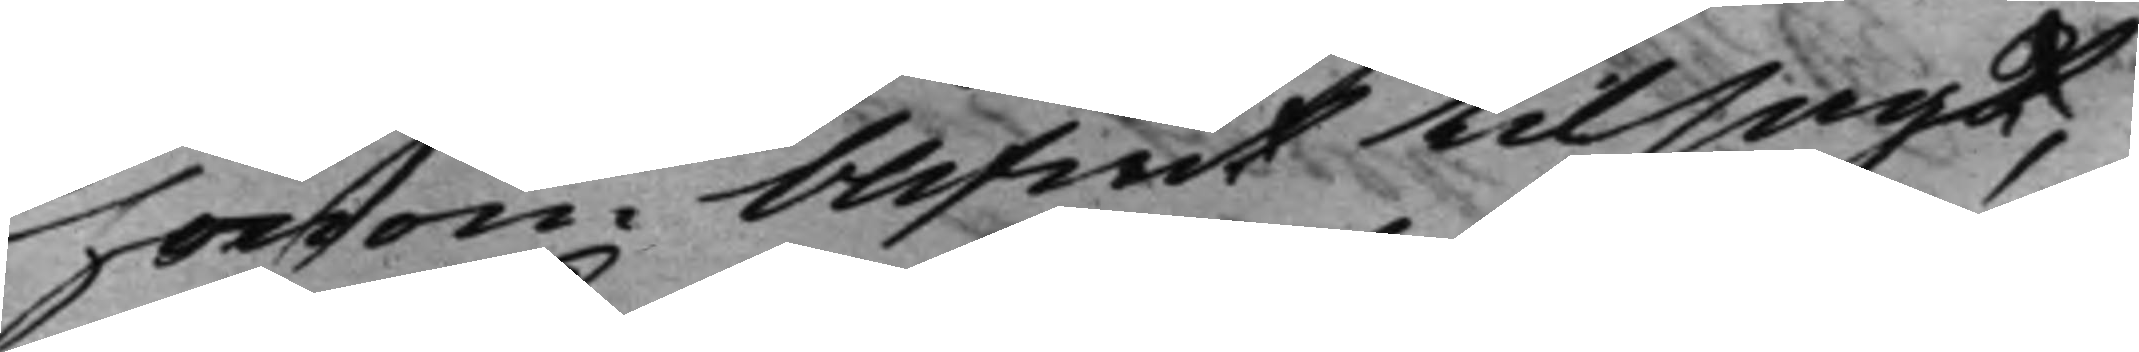honom blifwit tilsagt,
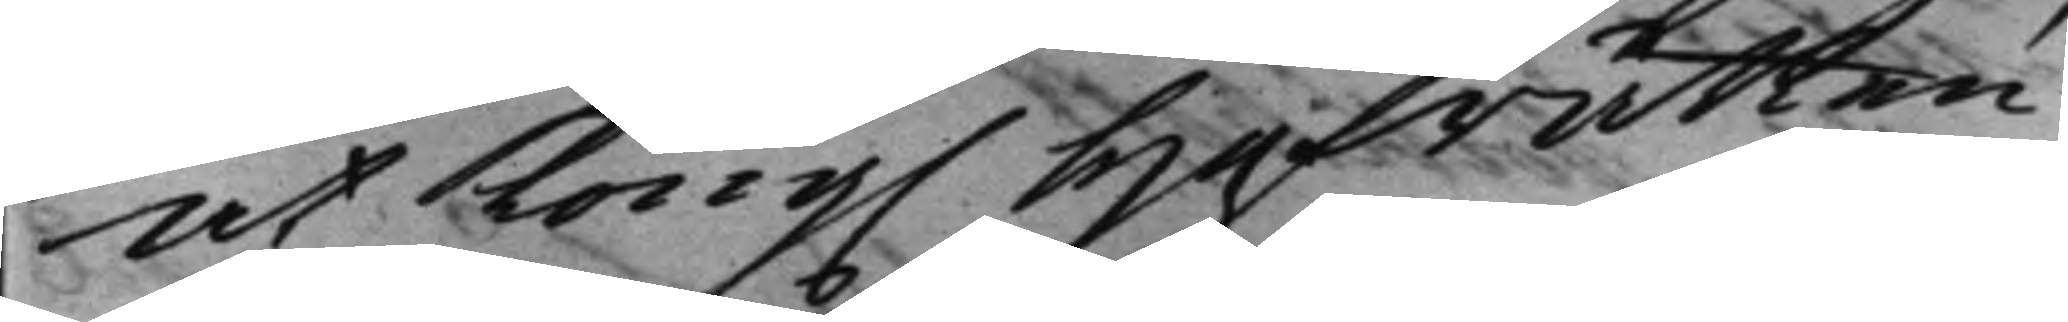at Kong. Hofrätten 
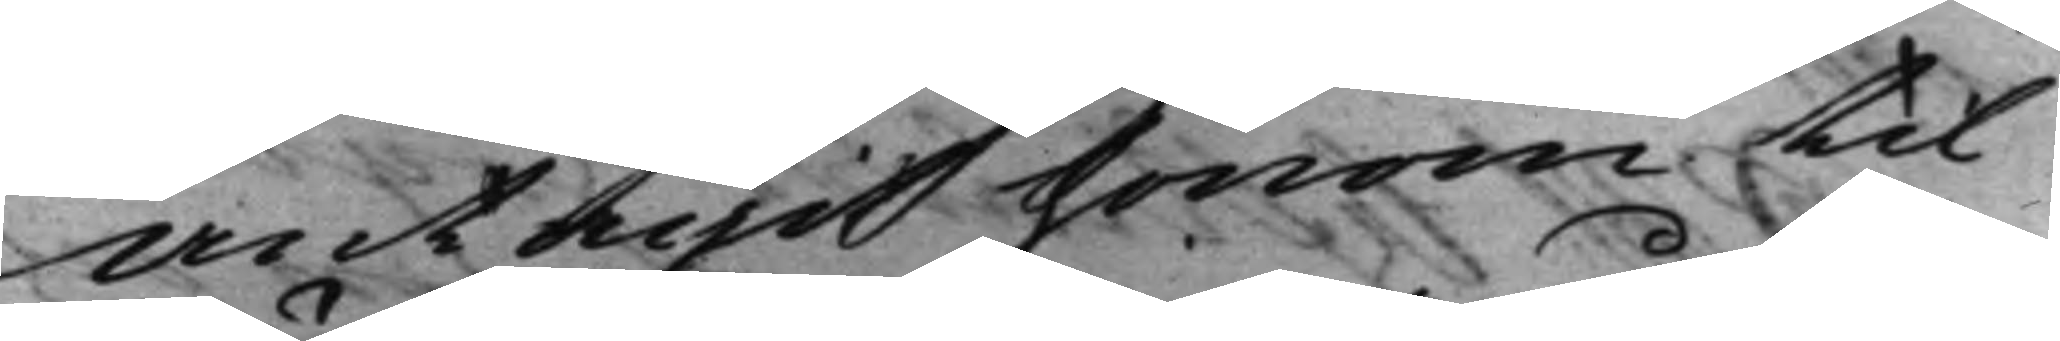antagit honom til
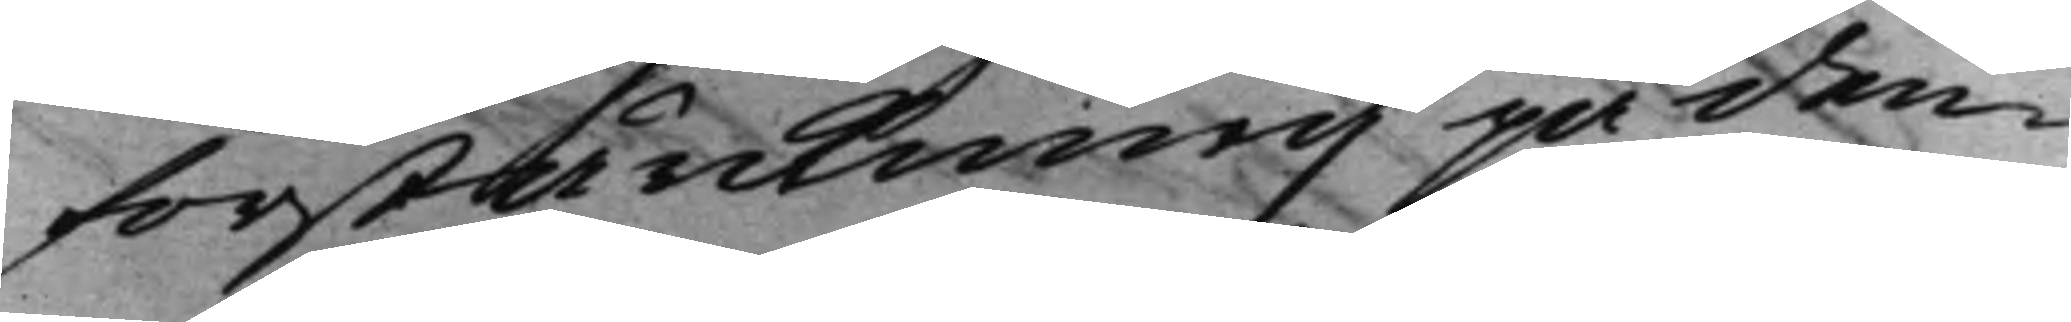förstärckning på den¬
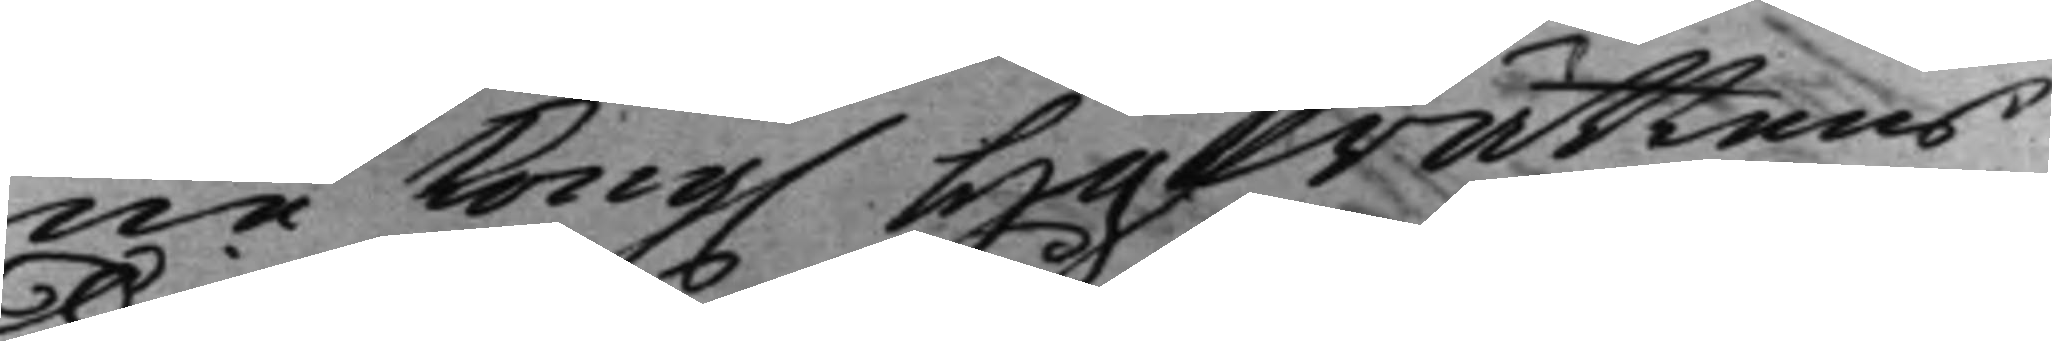ne Kong. Hofrättens 
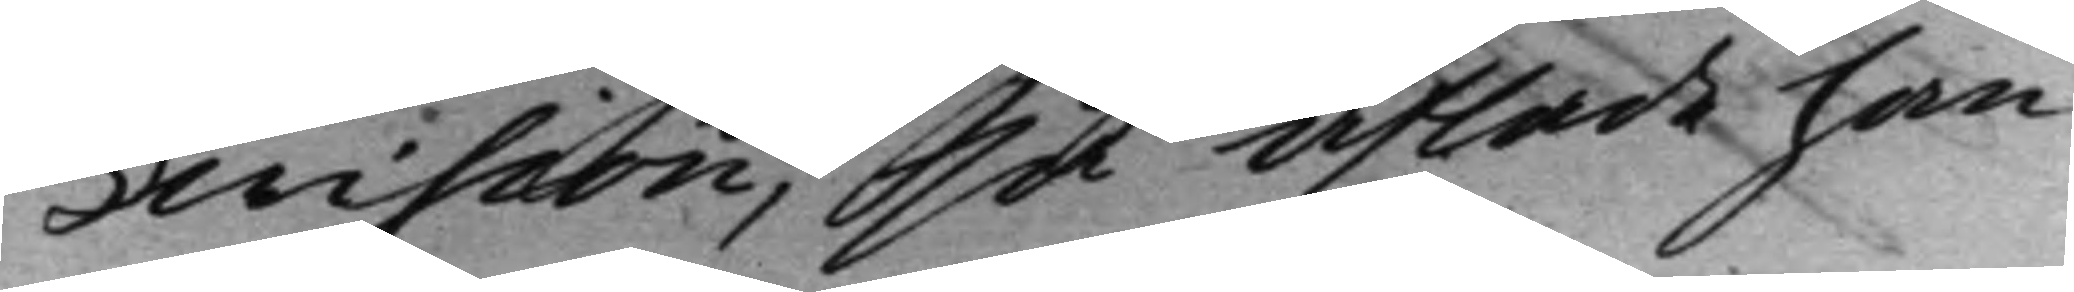Division, så aflade han
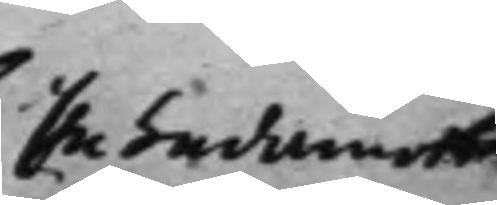En Ledamots 
